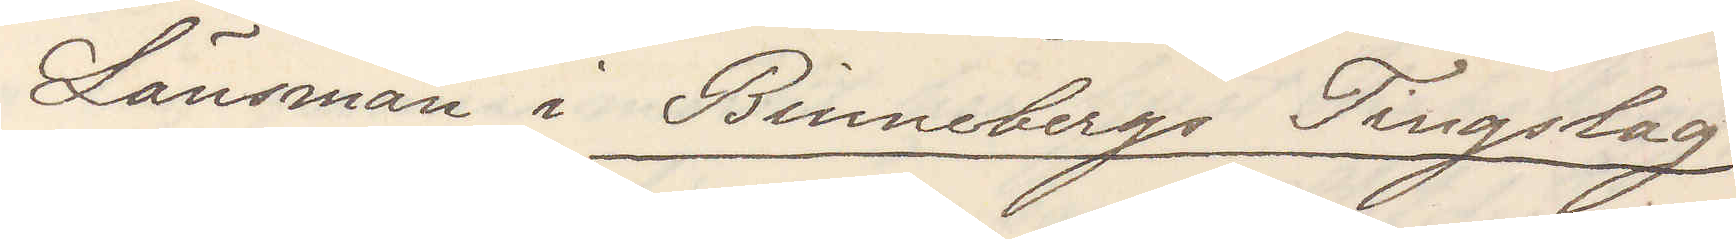Länsman i Binnebergs Tingslag
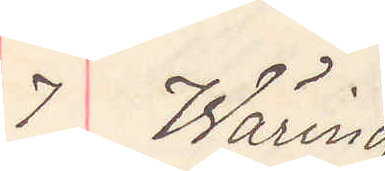7 Wäring
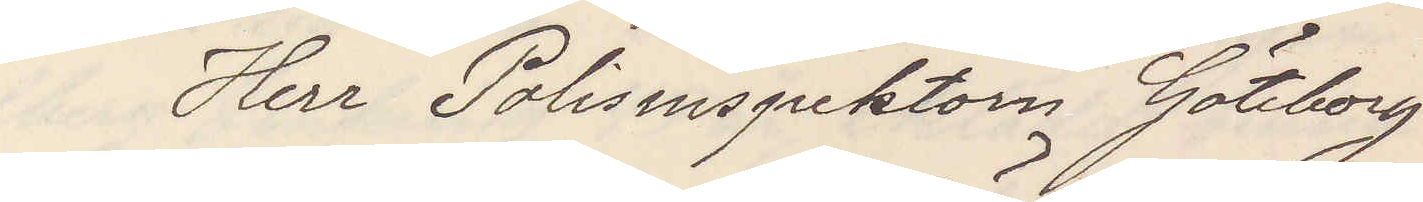Herr Polisinspektorn Göteborg
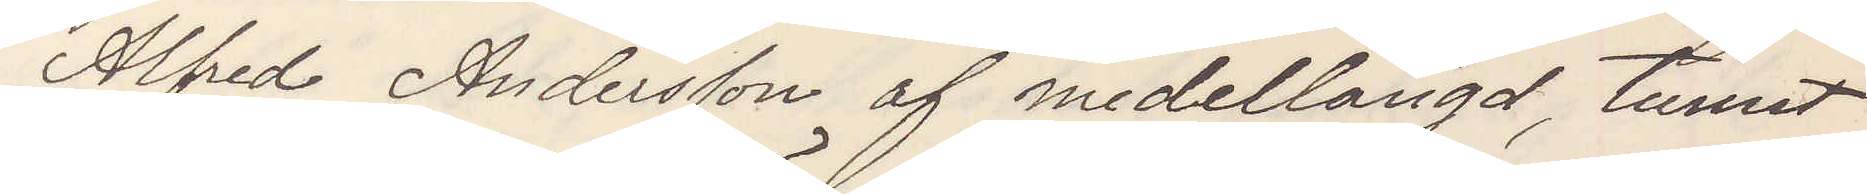Alfred Andersson af medellängd, tunnt
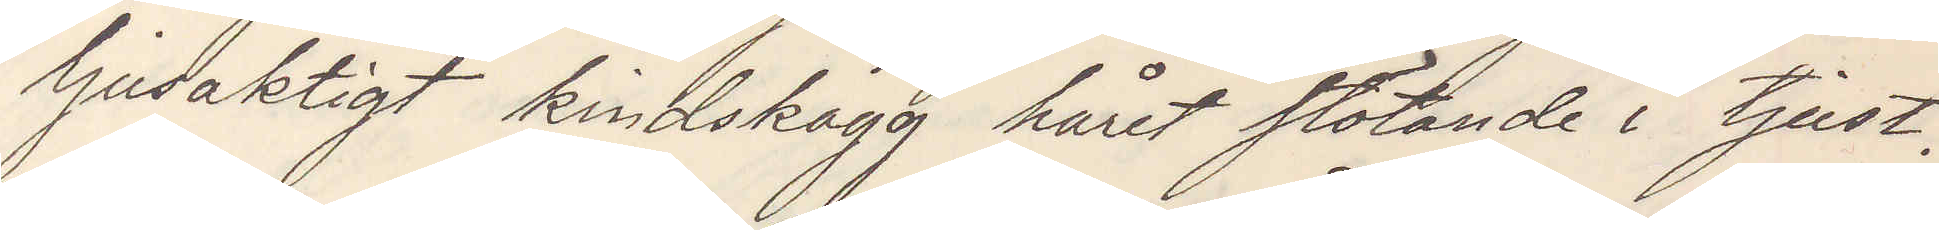ljusaktigt kindskägg håret stötande i tjust.
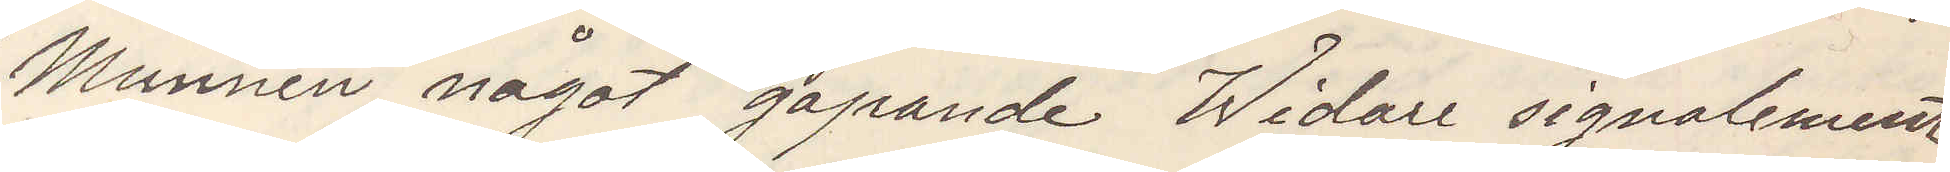Munnen något gapande Widare signalement
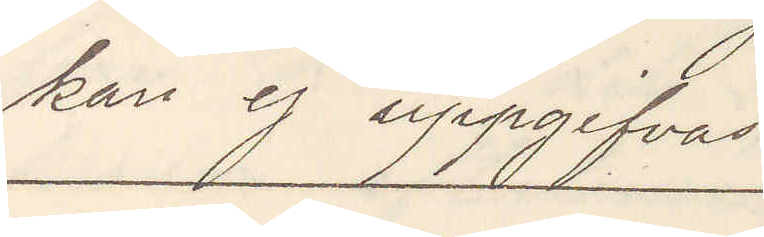kan ej uppgifvas.
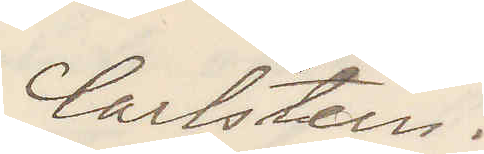Carlstein.
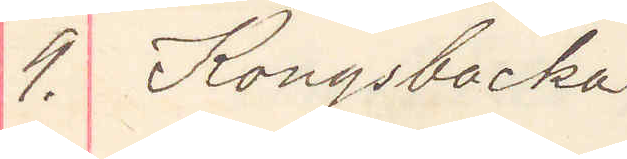9. Kungsbacka
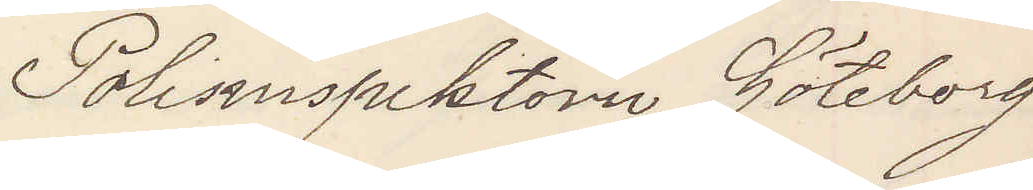Polisinspektorn Göteborg
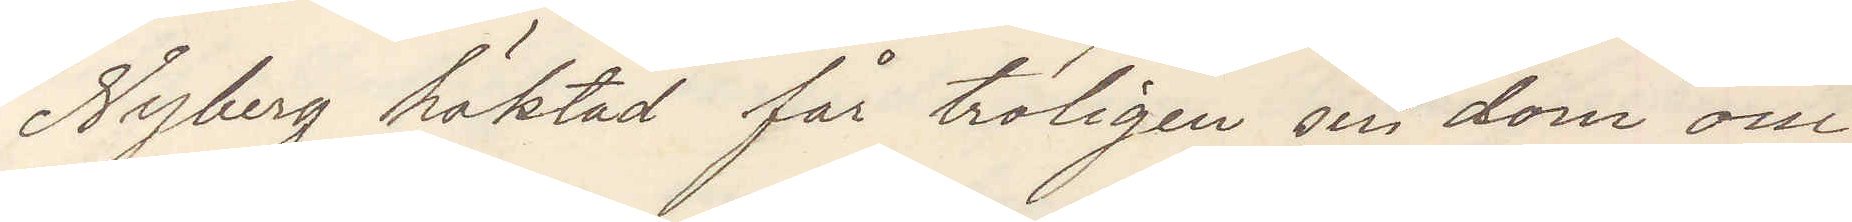Nyberg häktad får troligen sin dom om
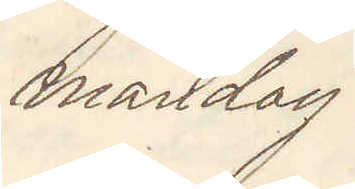måndag.
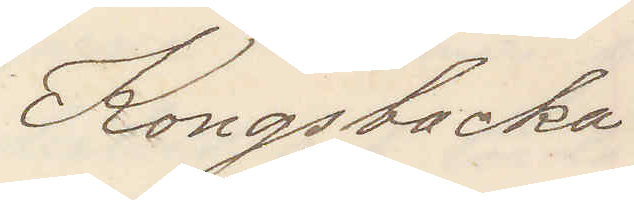Kongsbacka
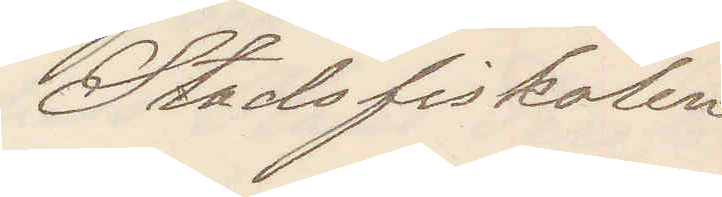Stadsfiskalen
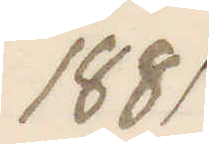1881
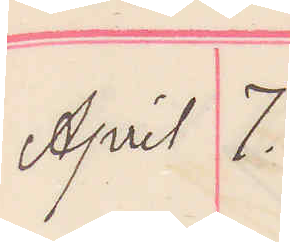April 7.
